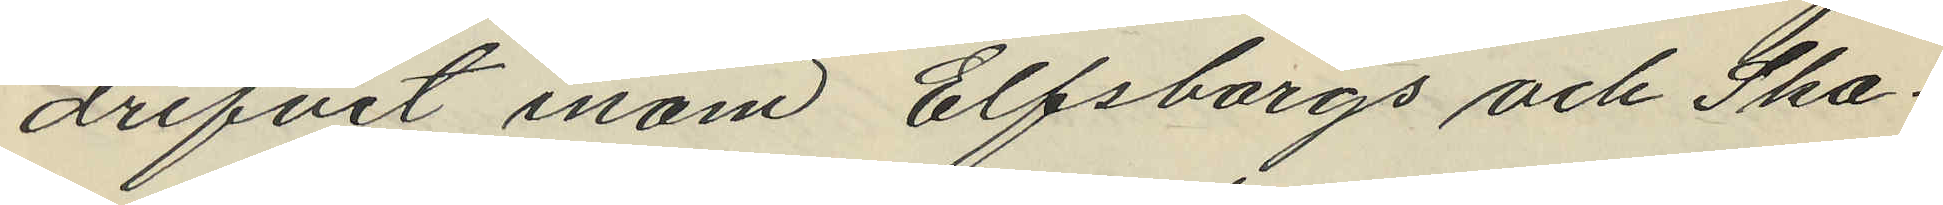drifvit inom Elfsborgs och Ska¬
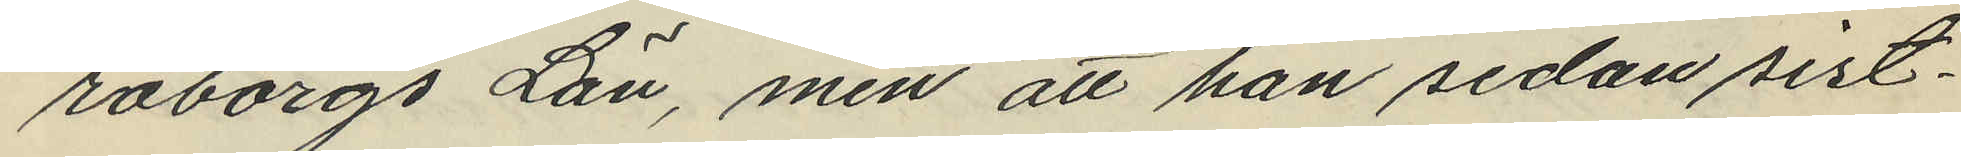raborgs Län, men att han sedan sist¬
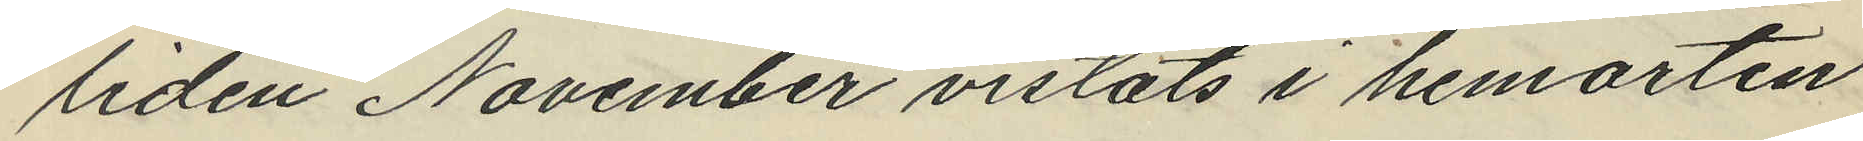liden November vistats i hemorten
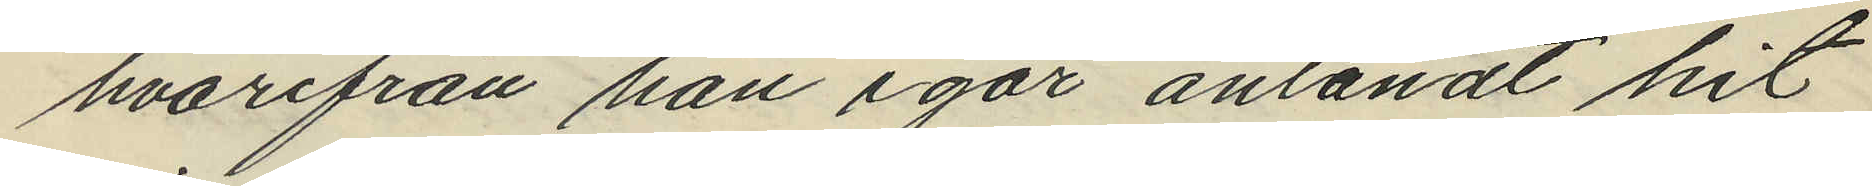hvarifrån han igår anländt hit
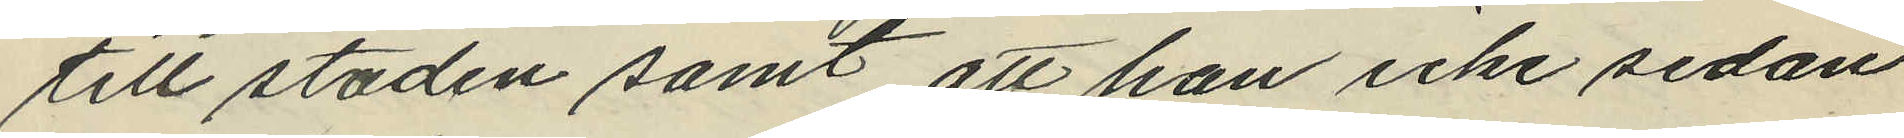till staden samt att han icke sedan
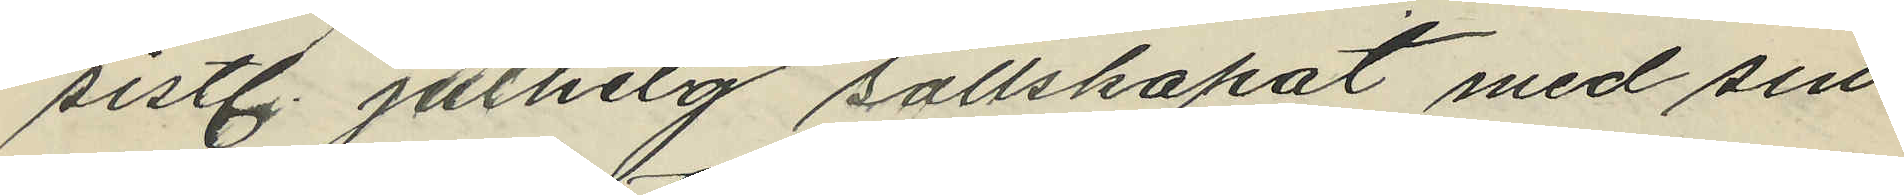sistl. Julhelg sällskapat med sin
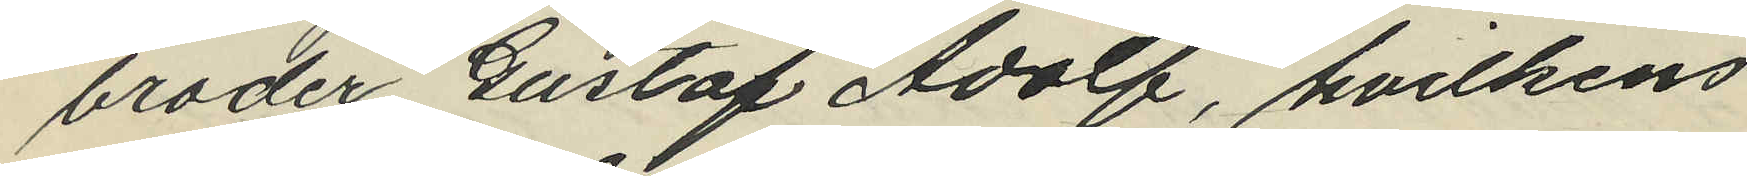broder Gustaf Adolf, hvilkens
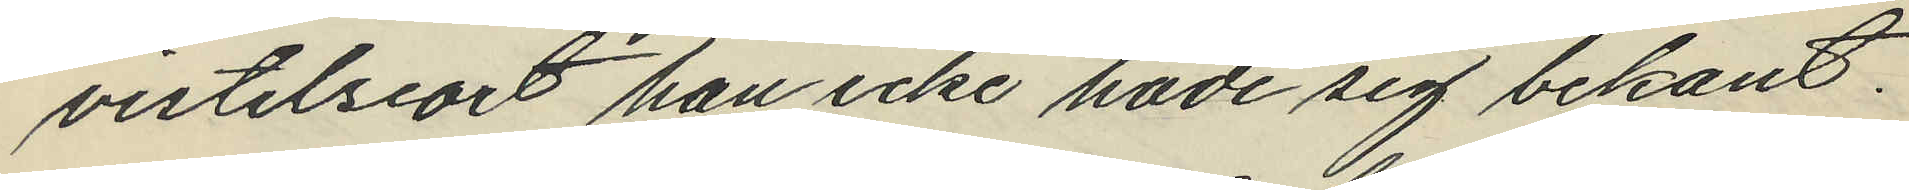vistelseort han icke hade sig bekant.
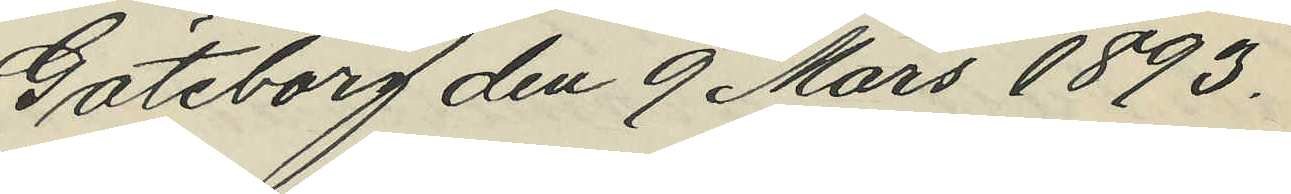Göteborg den 9 Mars 1893.
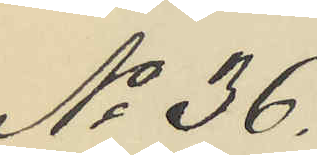No 36.
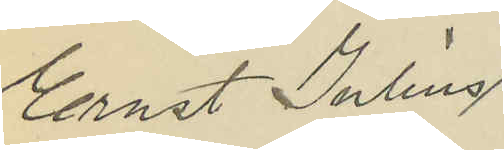Ernst Julius
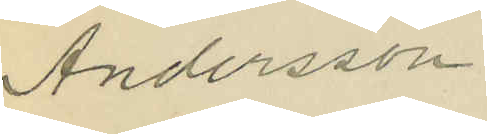Andersson
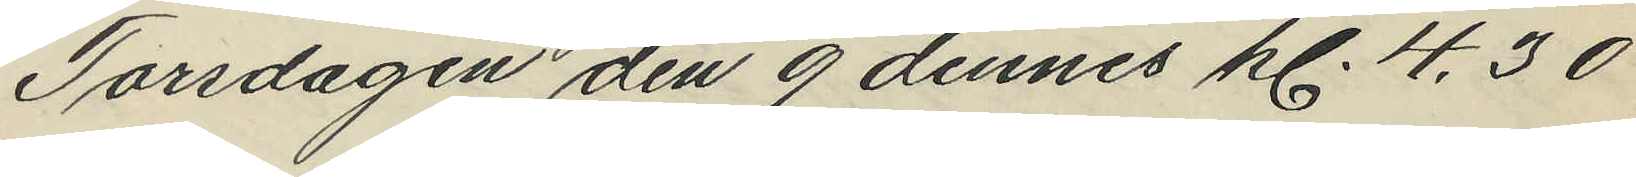Torsdagen den 9 dennes kl. 4.30
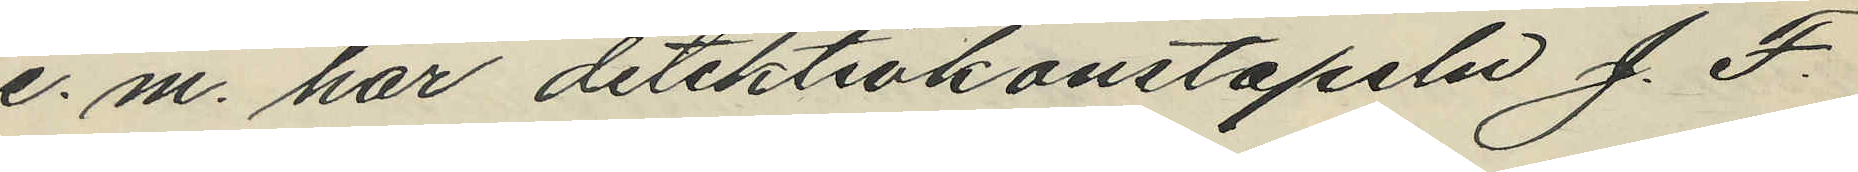e. m. har detektivkonstapeln J. F.
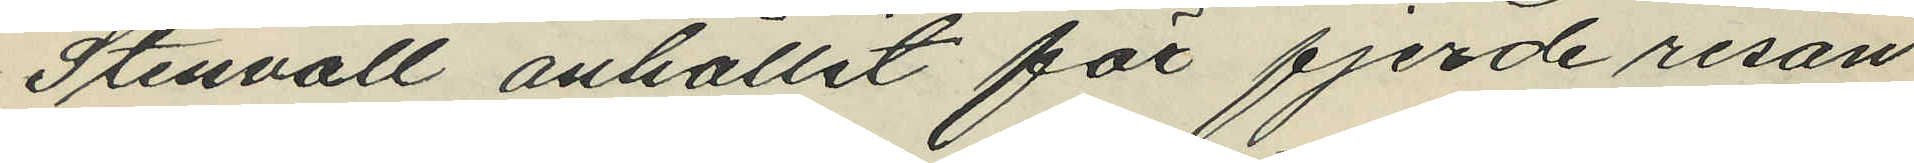Stenvall anhållit för fjerde resan
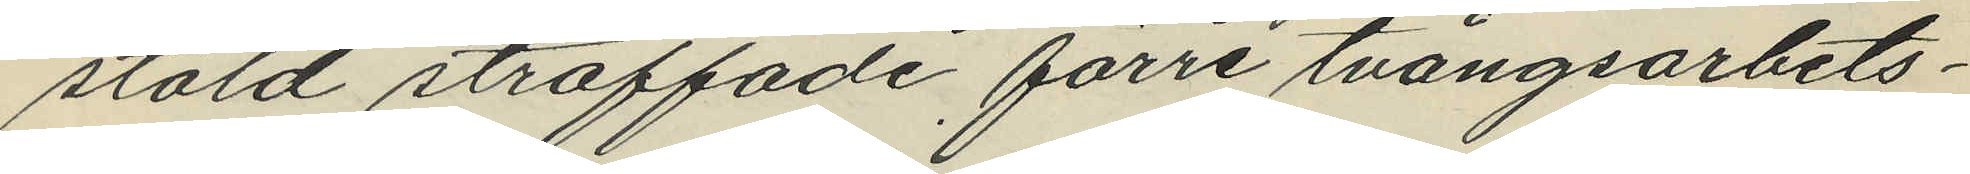stöld straffade förre tvångsarbets¬
